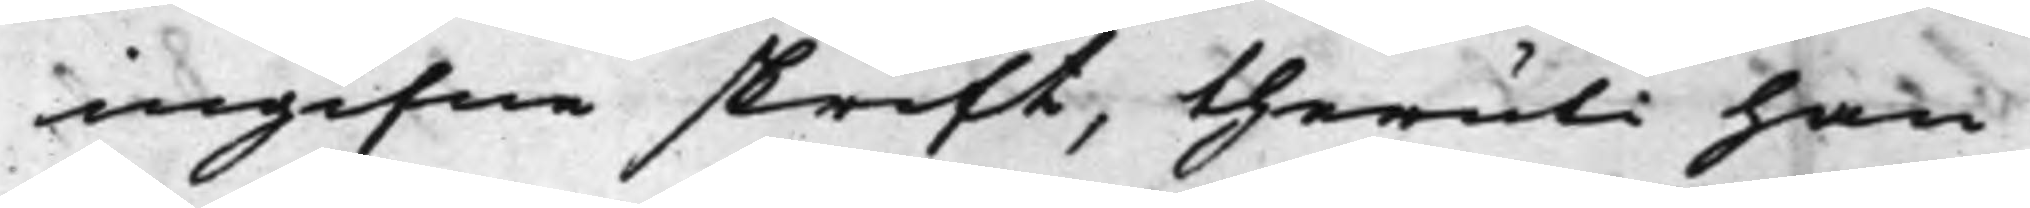ingifne skrift, theruti han
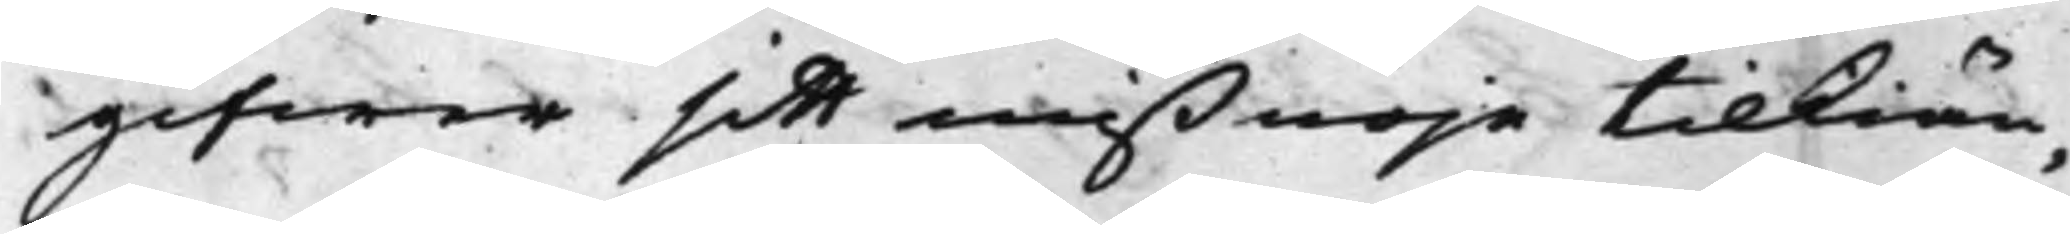gifwer sitt mißnöje tilkiän¬
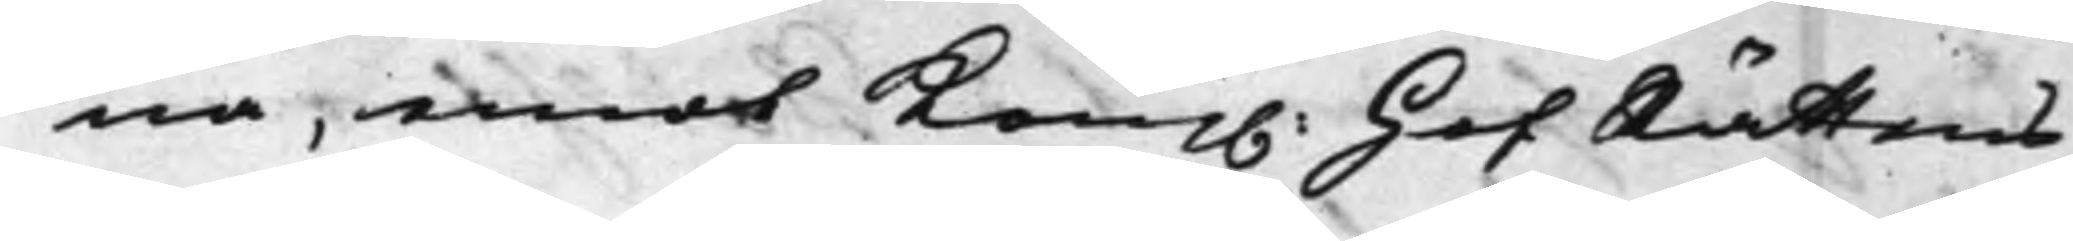na, emot Kong. HofRättens
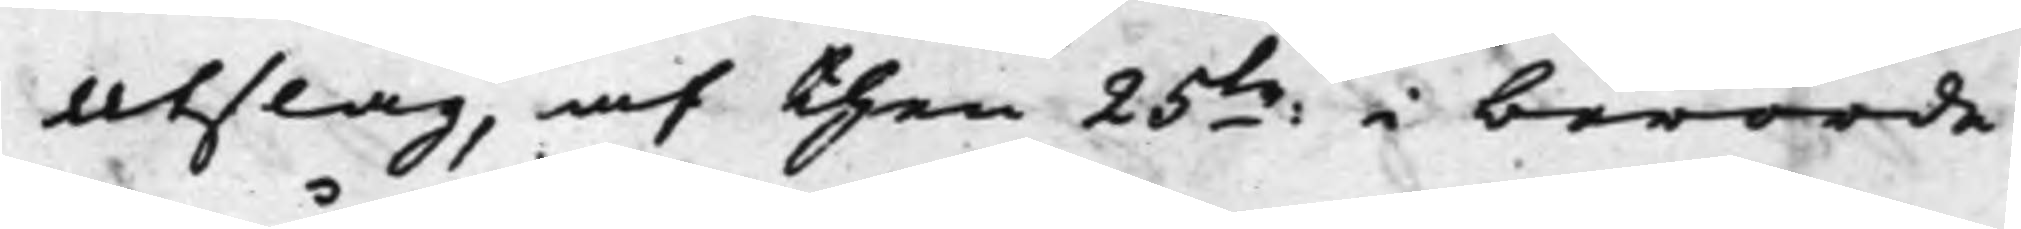Utslag, af then 25:te i berörde
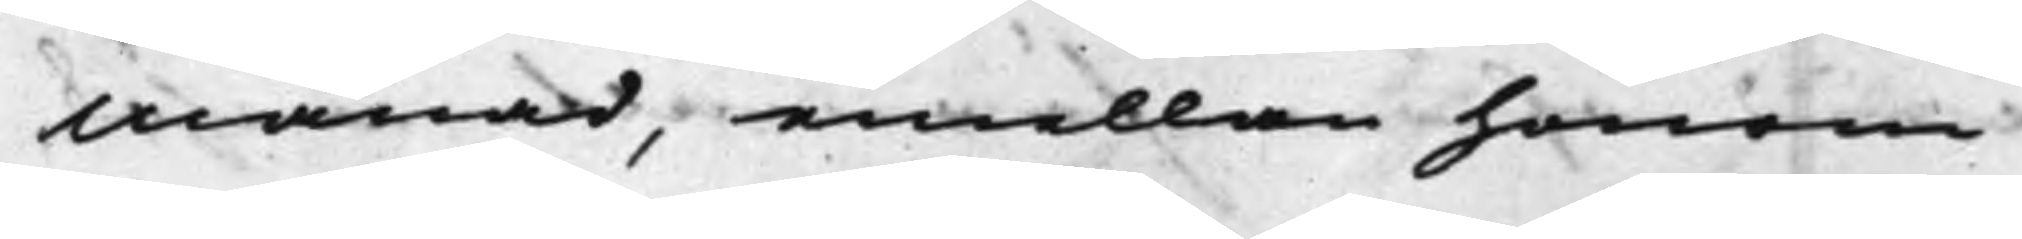Månad, emellan honom
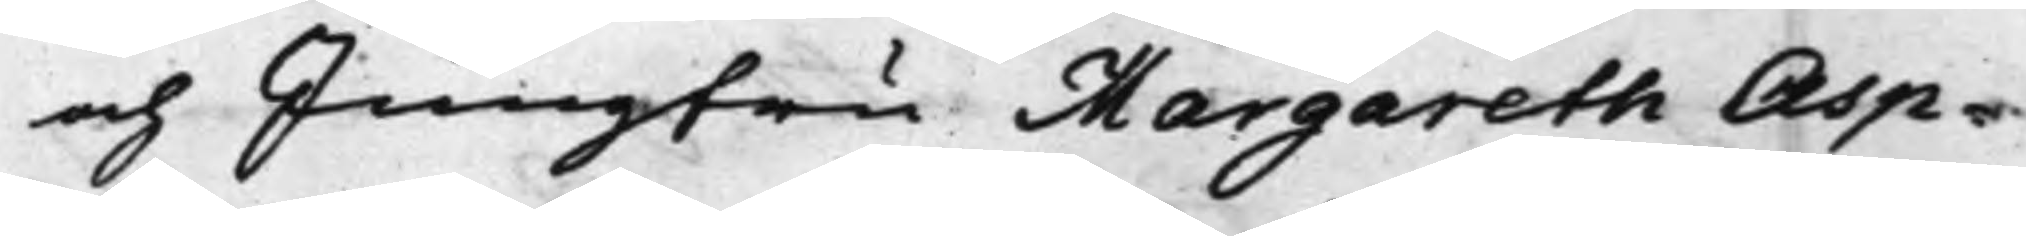och Jungfru Margareth Asp¬
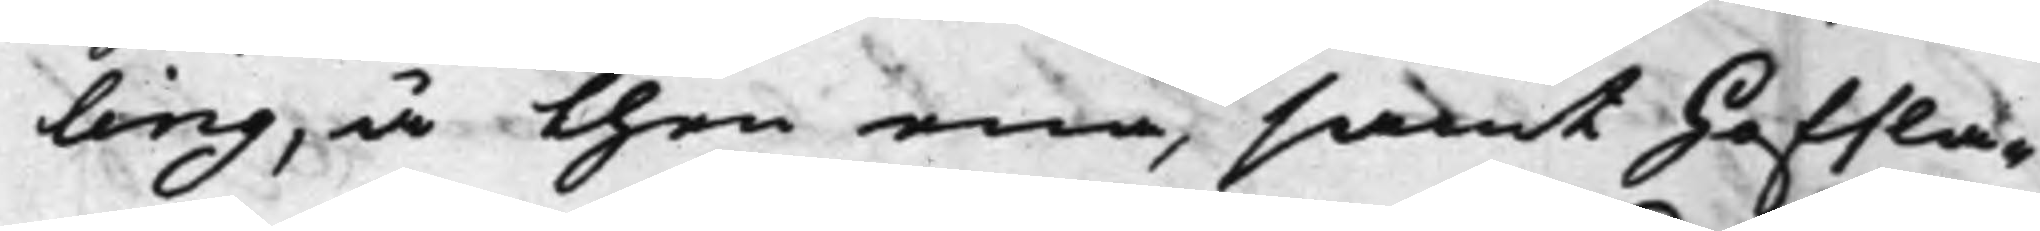ling, å then ena, samt Hofsla¬
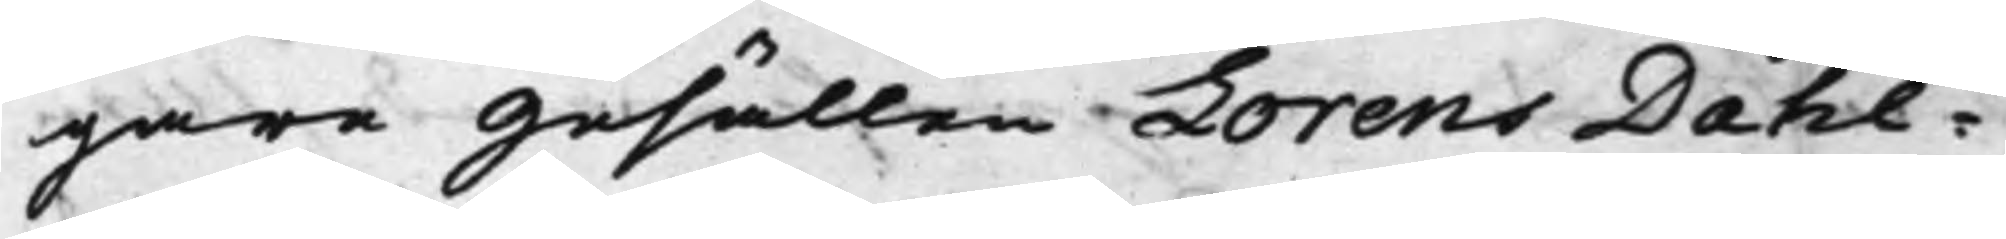gare Gesällen Lorens Dahl¬
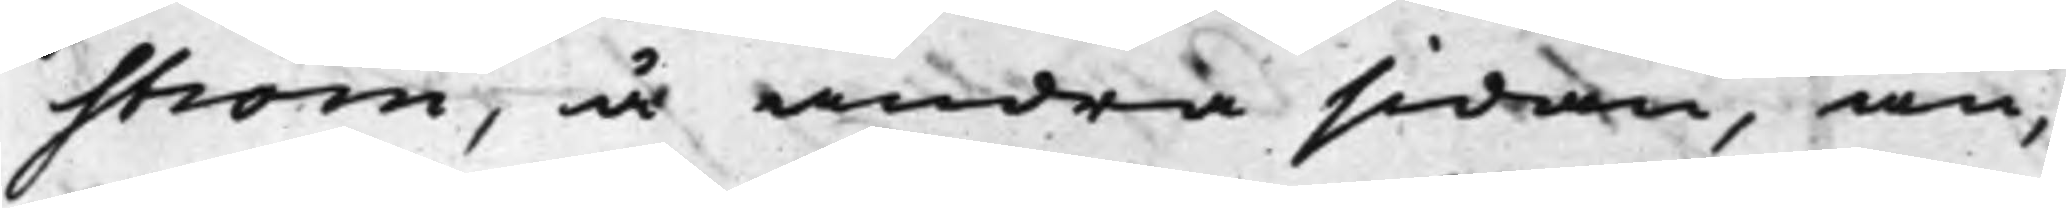ström, å andra sidan, an¬
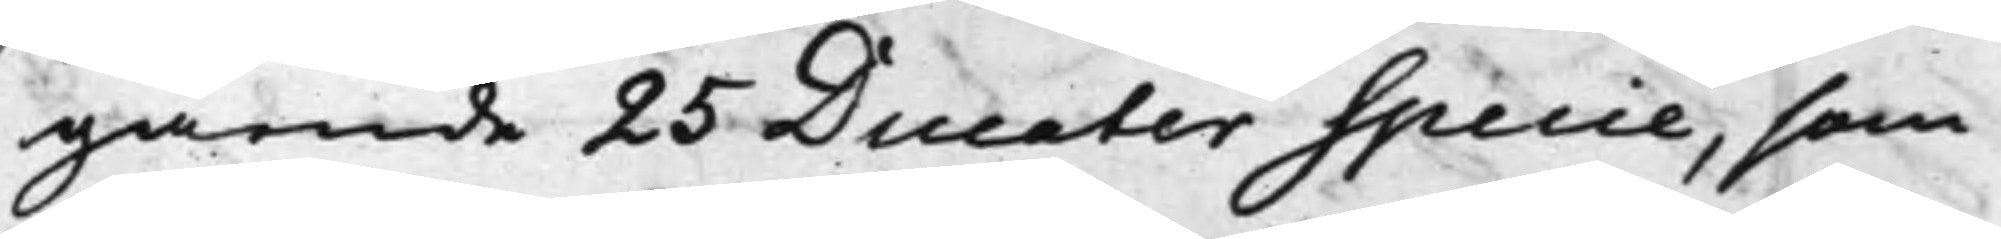gående 25 Ducater Specie, som
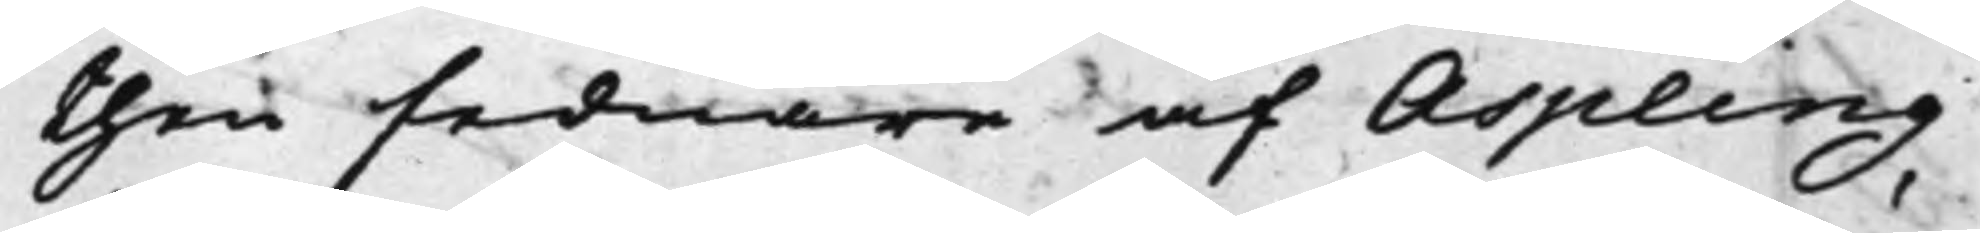then sednare af Aspling
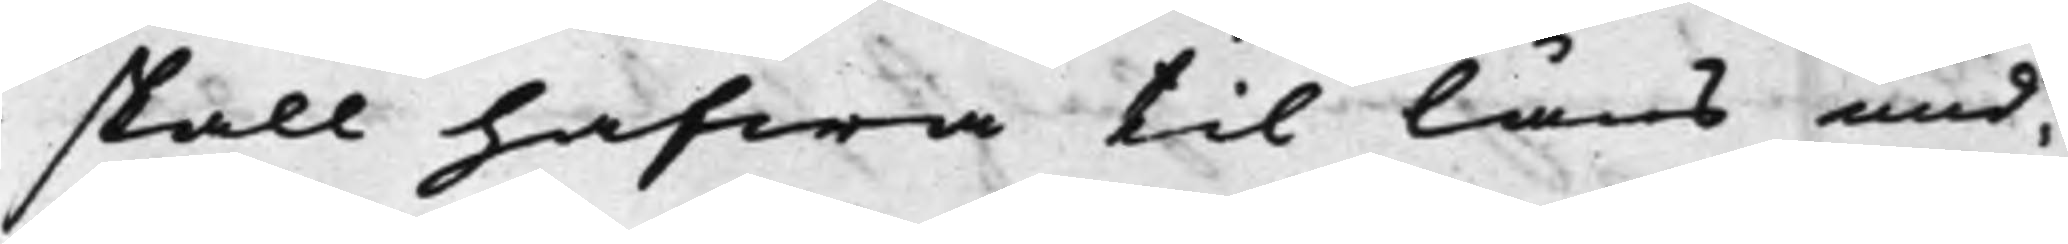skall hafwa til låns und¬
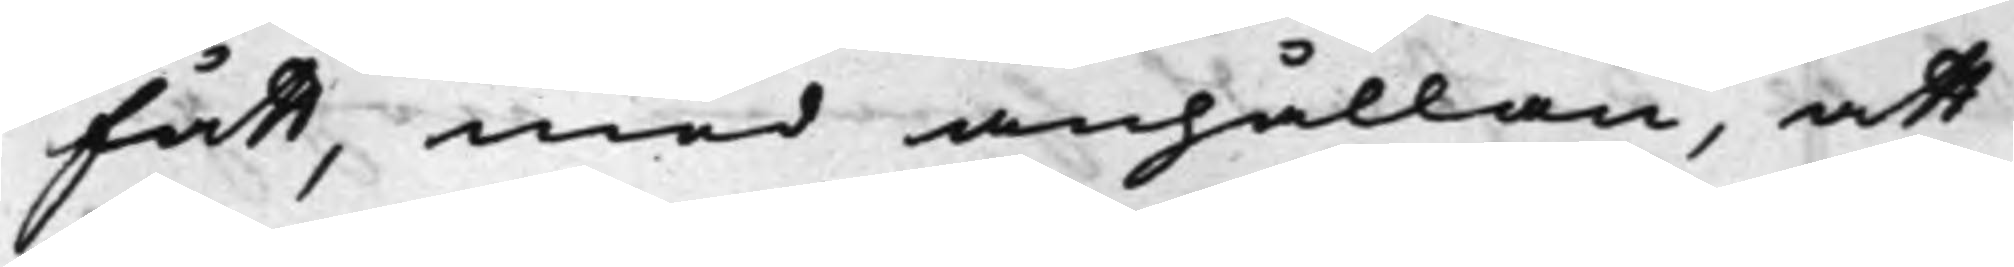fått, med anhållan, att
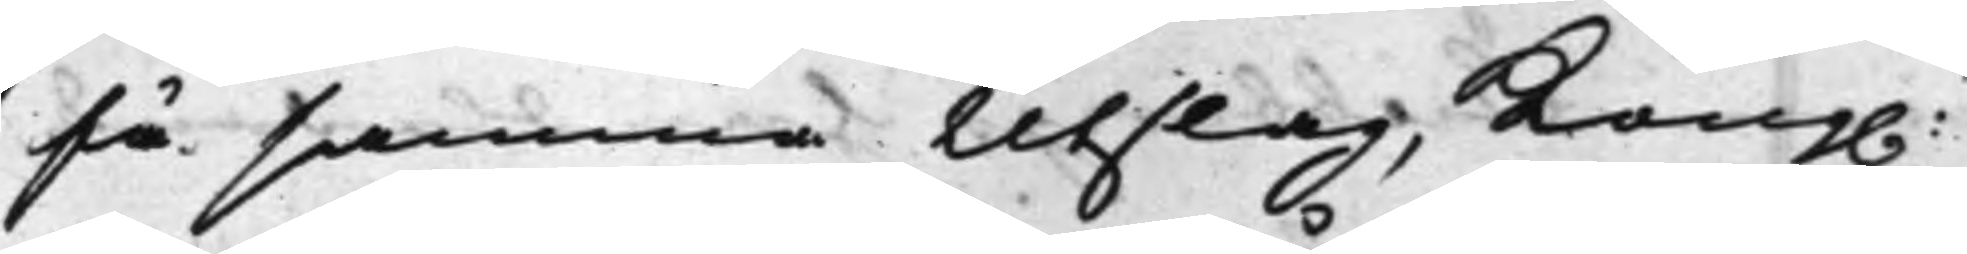få samma Utslag, Kong.
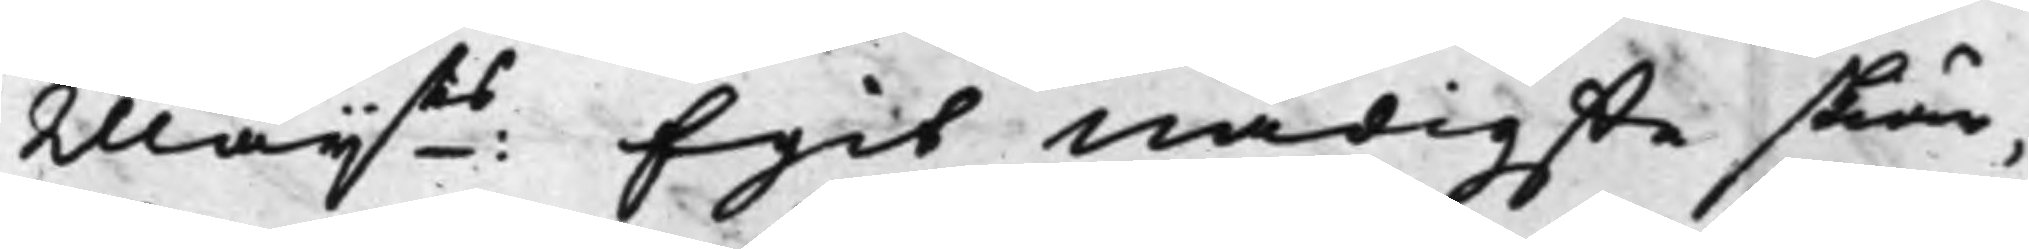Maij:ts Egit Nådigste skiär¬
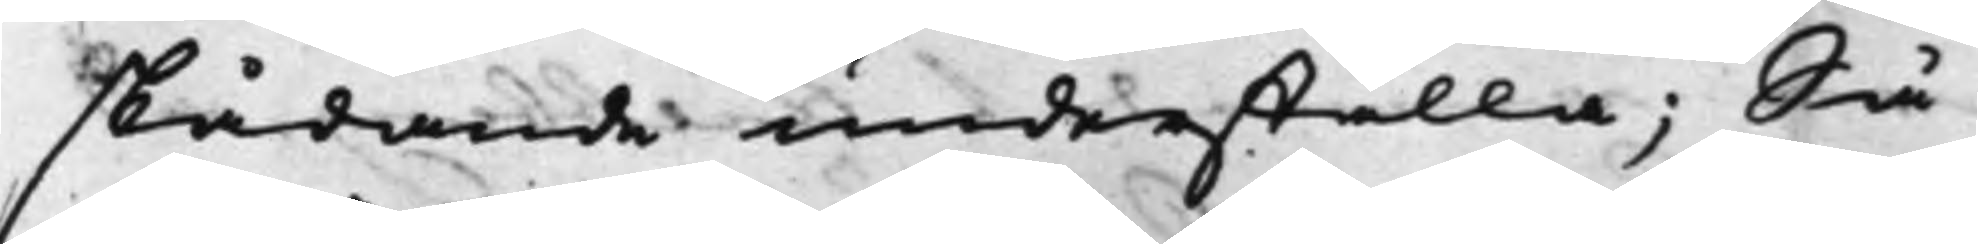skådande underställa; Så
